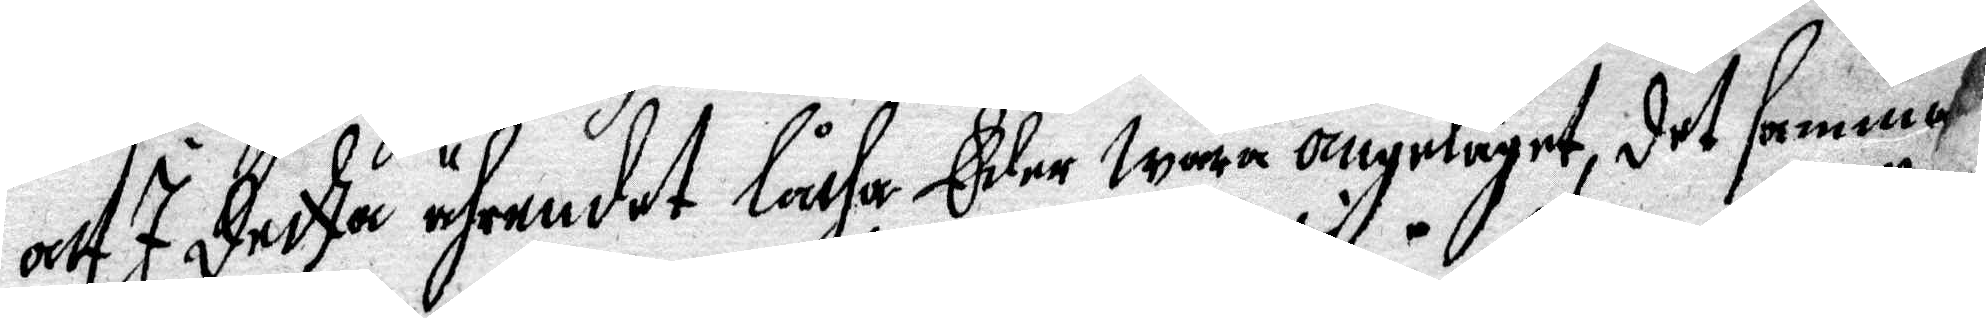att I detta ährendet låtha Eder wara angeläget, det samma
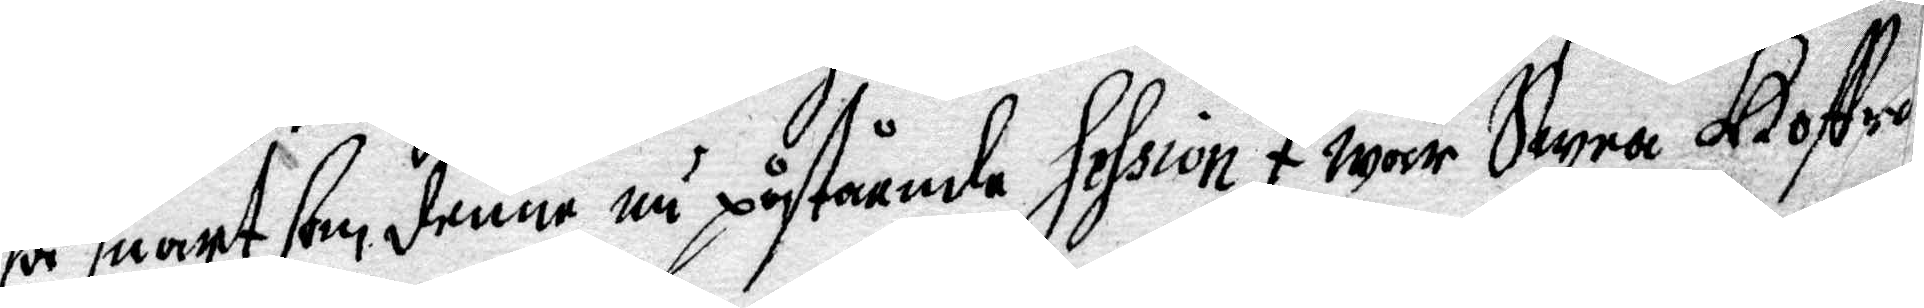så snart som denne nu påstående session I wår snara Kostr 
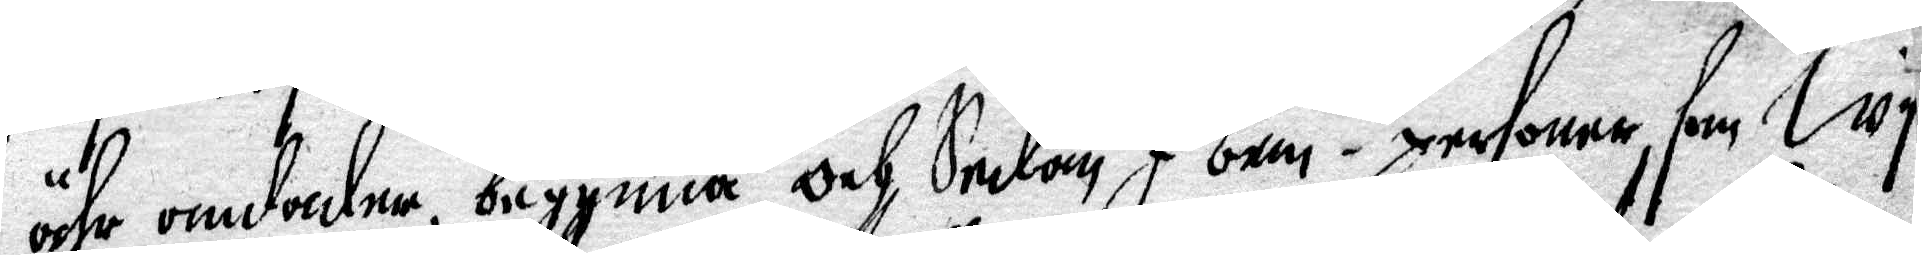ähr omdadna, begynna, och sedan I bem. te personer som Wy
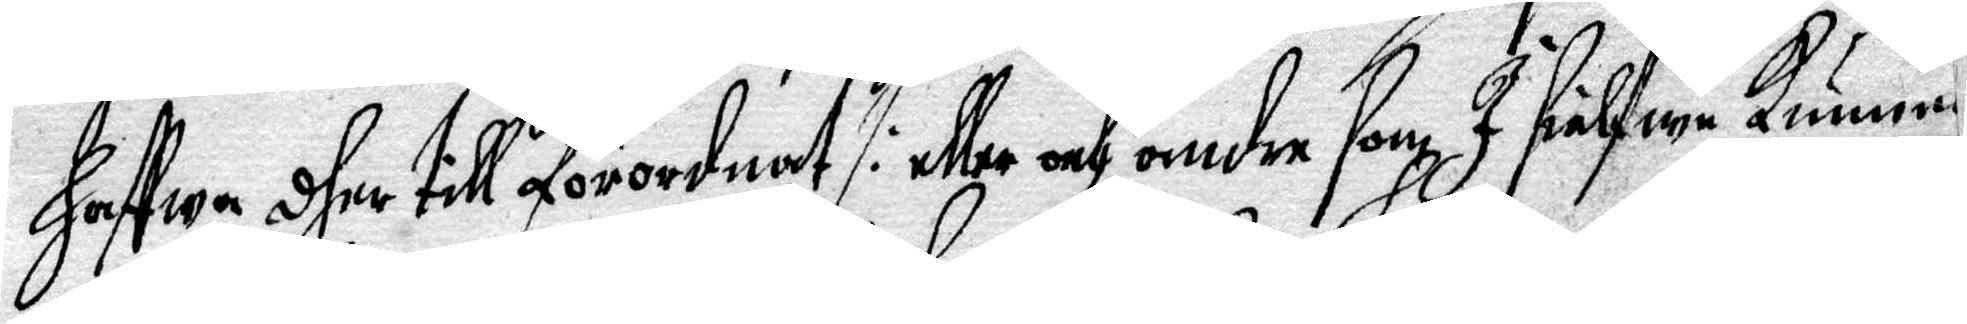haffwa dher till förordnat /: eller och andra som I sielfwe Kunna
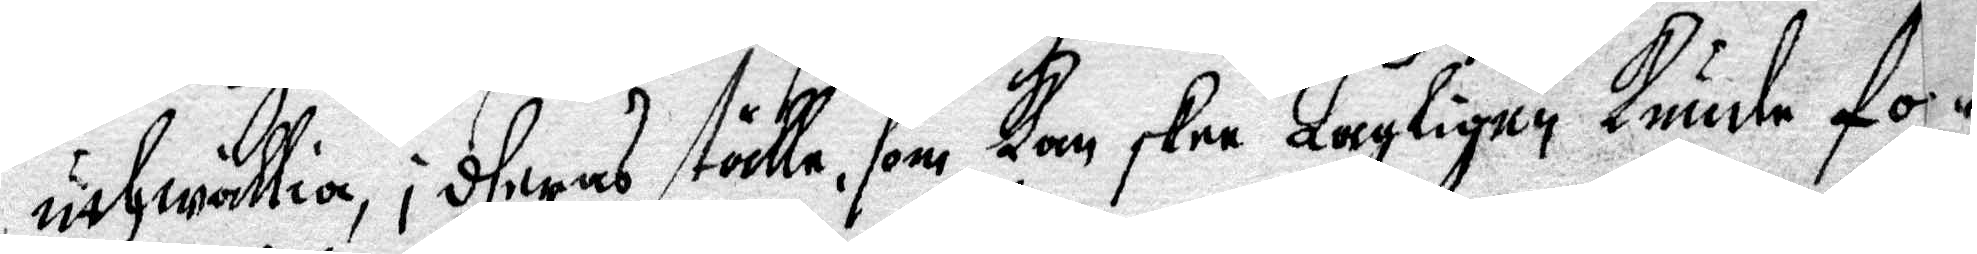uthwällia, i deras ställe, som Kan skee Lagligen Kunde for¬
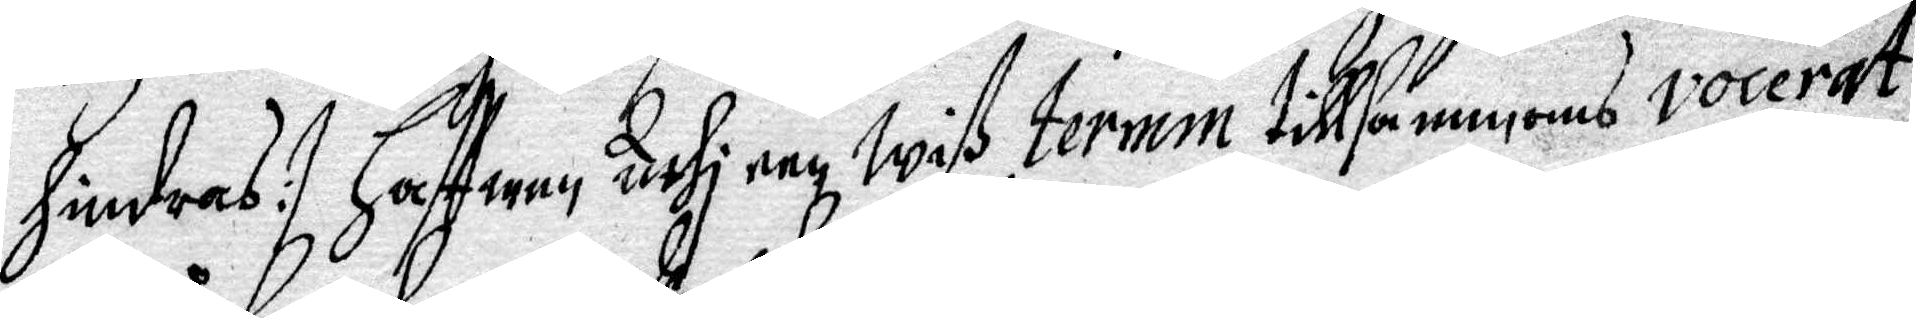hindras :/ Haffwen uthi een Wiß termin tillsammans vocerat,
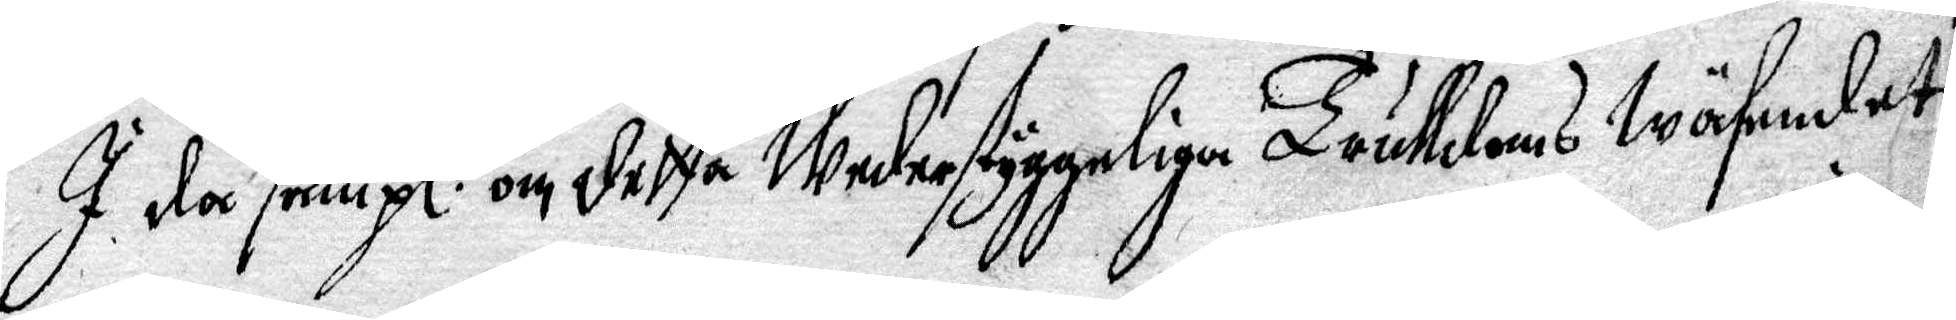I då sampl: om detta Wederstyggeliga Trulldoms Wäsendet;
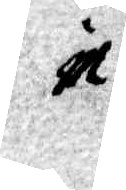in
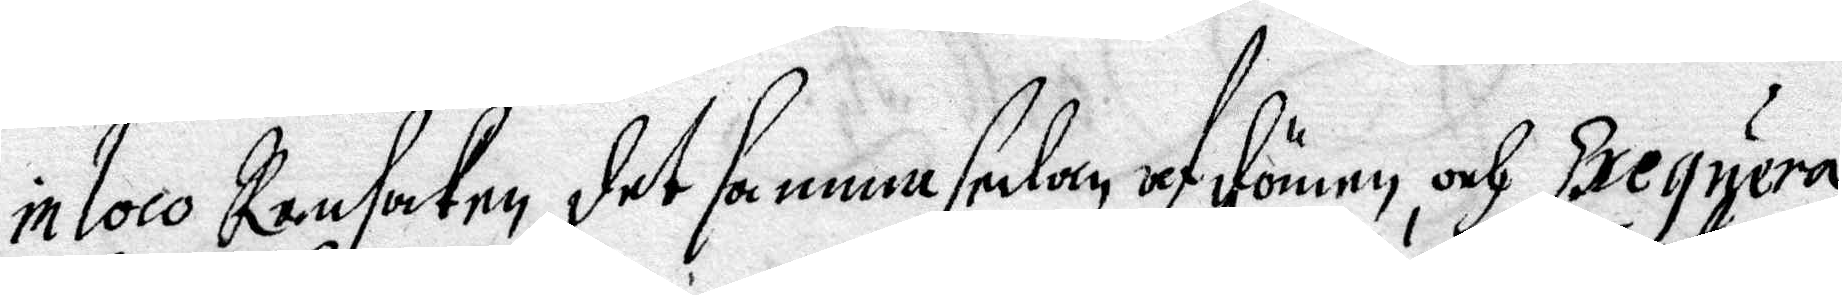in loco Ransakne, det samma sedan och dömen, och Exequera
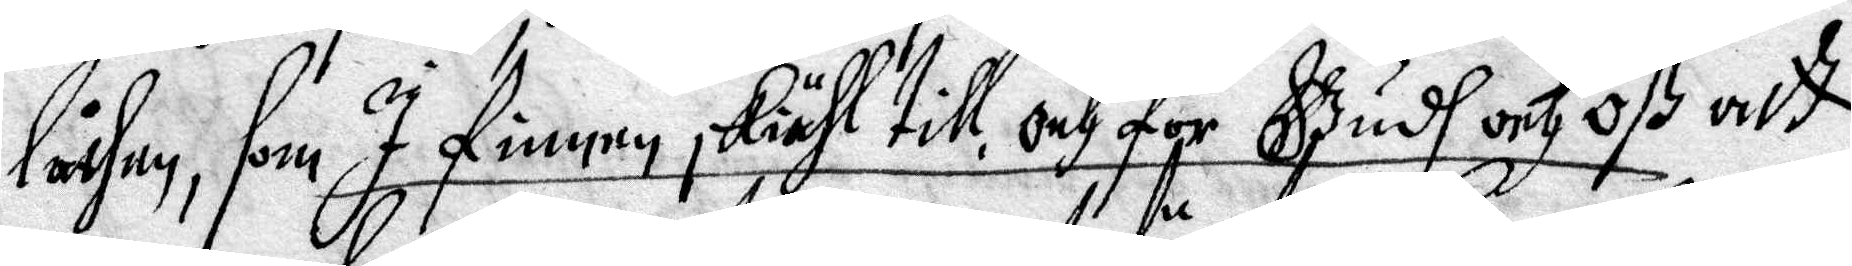låthen, som I finnen skiähl till, och för Gudh och Oß att
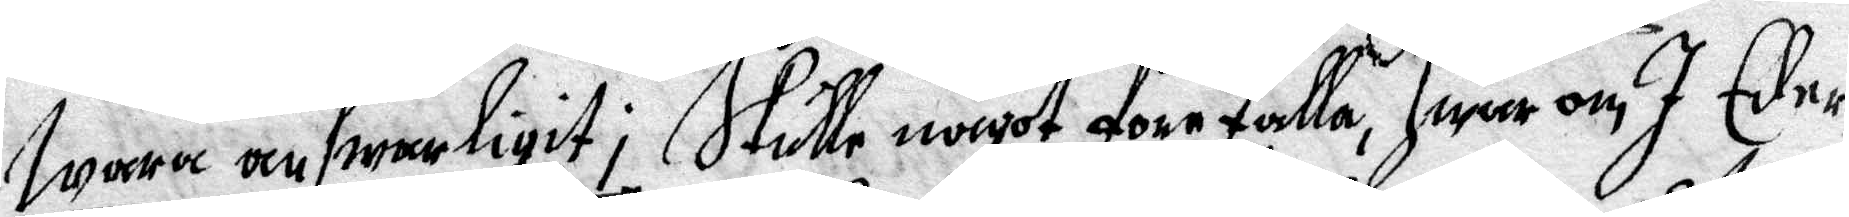wara answarligit; Skulle något förefalla hwar om I Eder
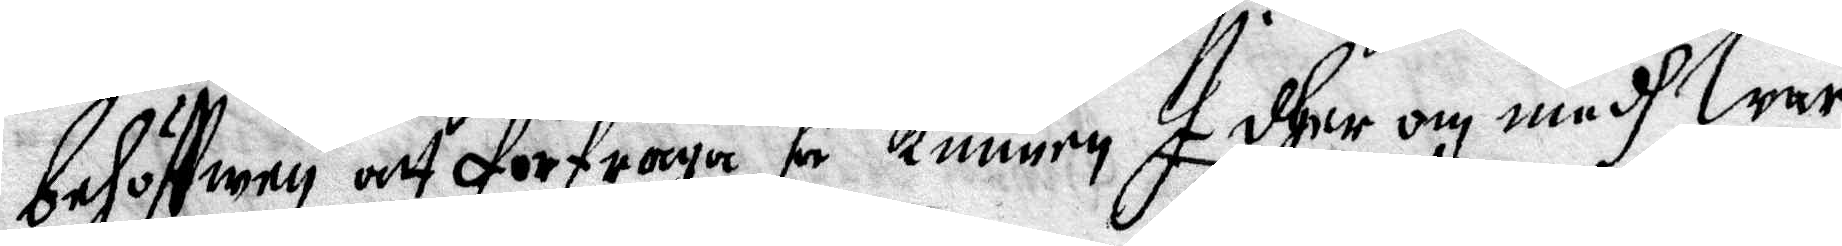behöffwen att förfråga, så Kunnen I dher om medh Wår
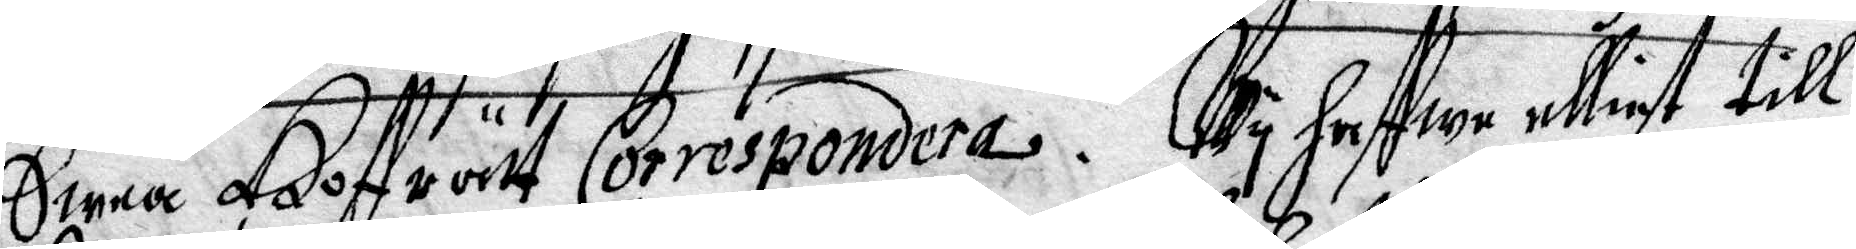Swea Hoffrätt Correspondera. Wy haffwe elliest till
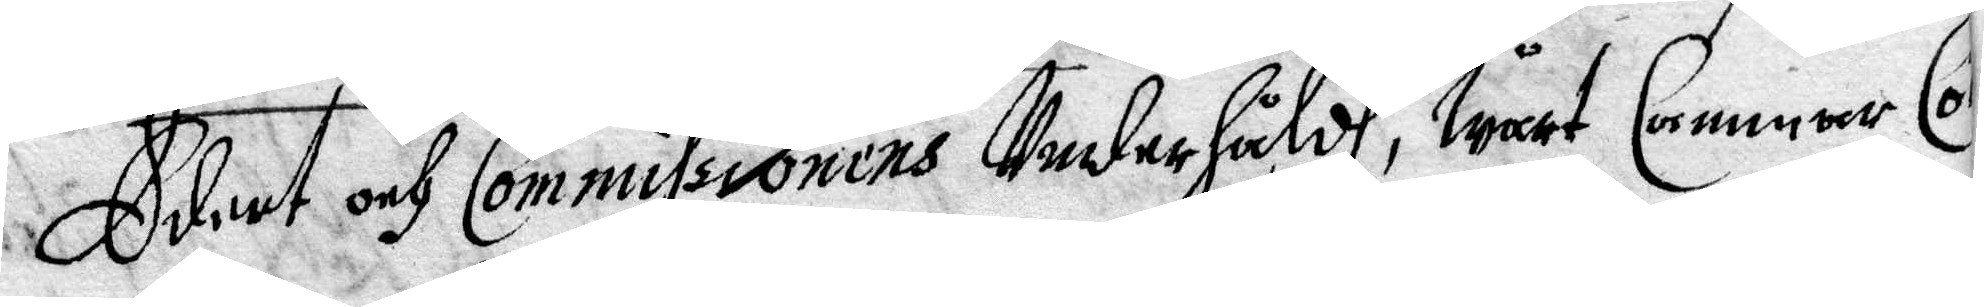Edert och Commissionens Underhåldh, Wårt Cammare Co¬
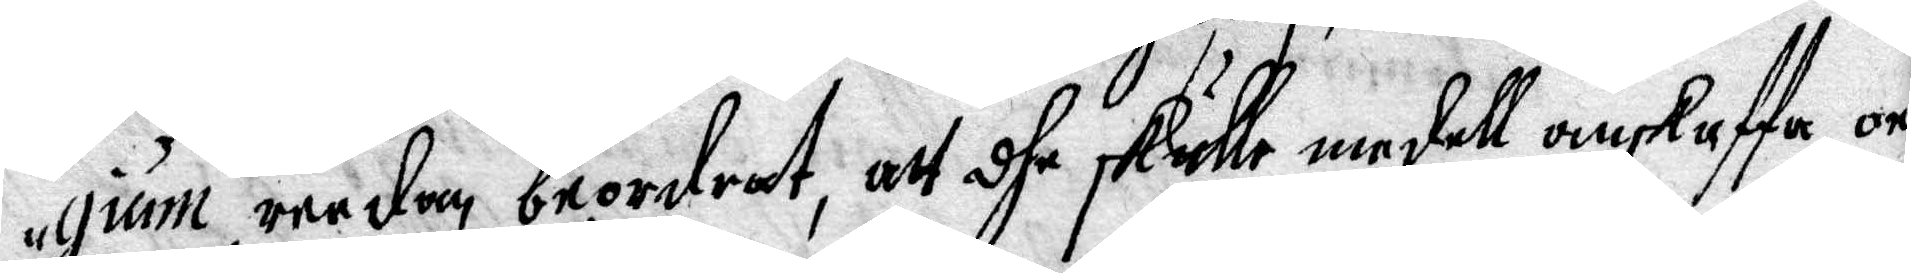gium reedan beordrat, att dhe skulle medell anskaffa, on
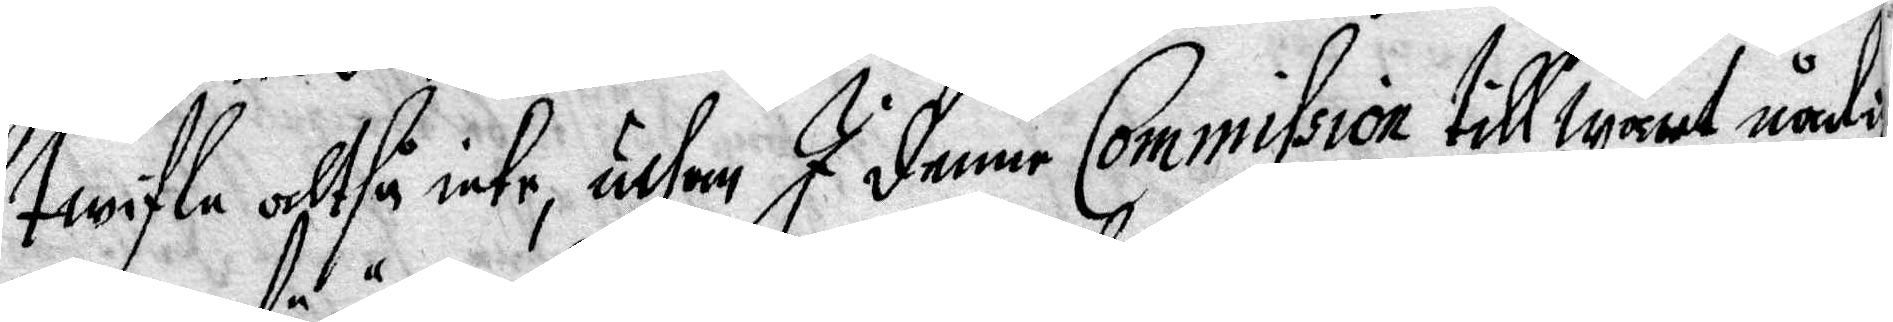twifla altså inte, uthan I denne Commission till Wårt nådige
